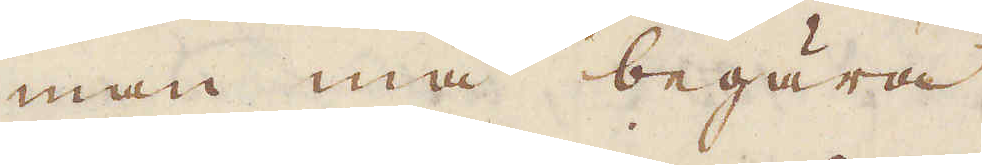man må begära
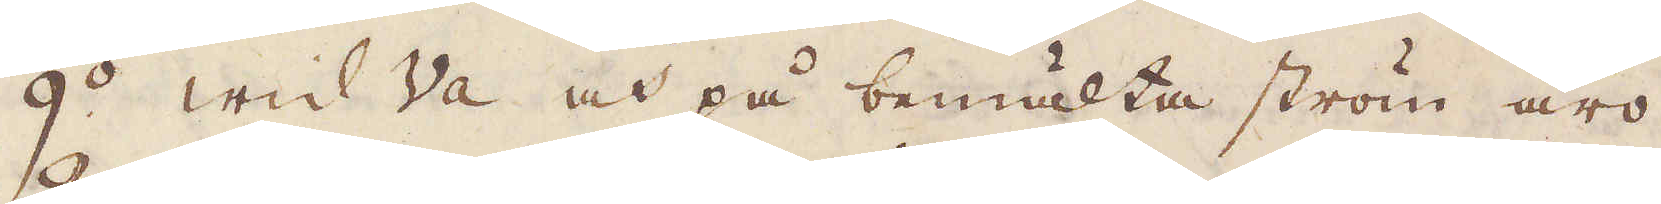9:o Wid Va och på bemälta ström äro
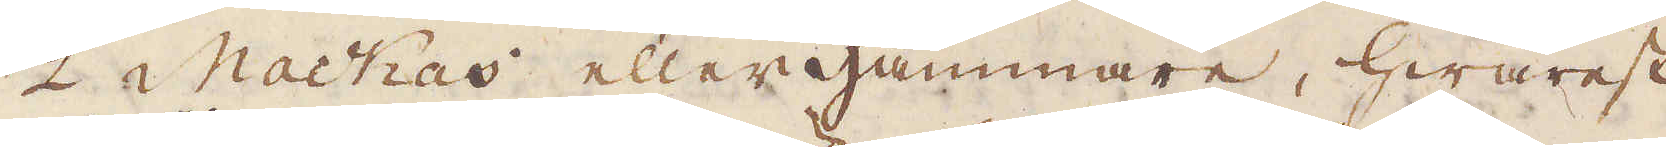2 Mackas eller hammare, hwarest
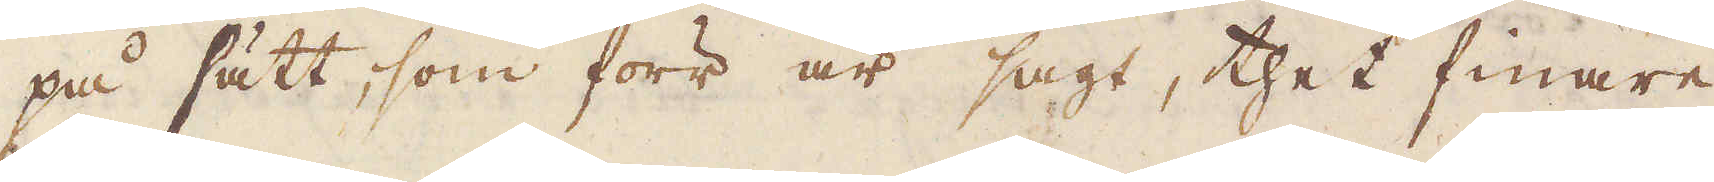på sätt, som förr är sagt, thet finare
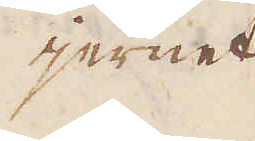jernet
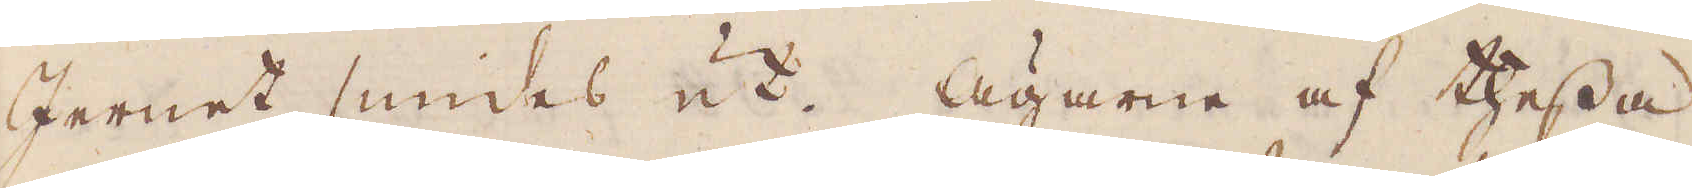Jernet smides ut. Ägarne af thessa
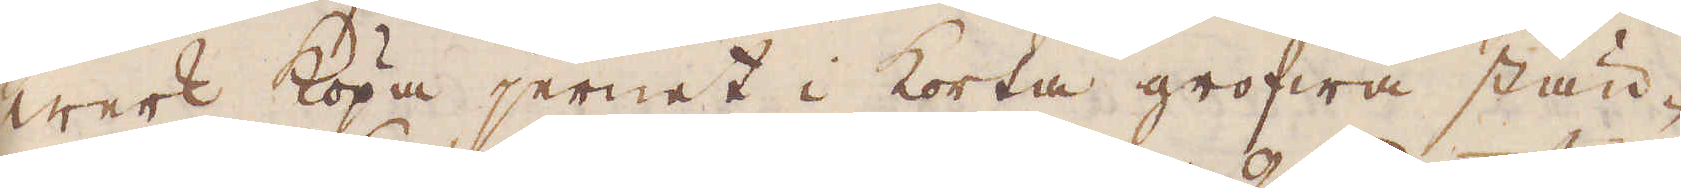werk köpa jernet i korta grofwa stän-
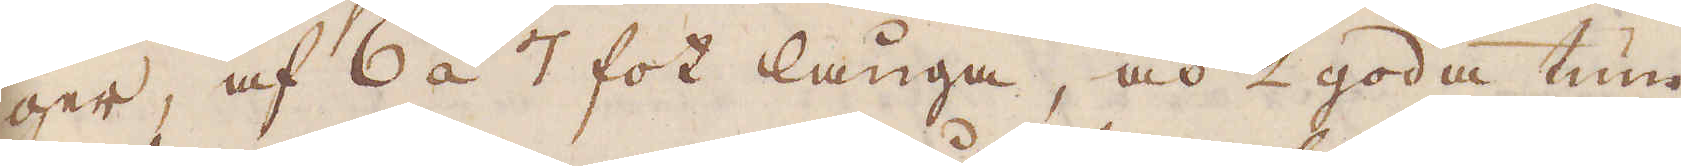ger, af 6 á 7 fot långa, och 2 goda tum
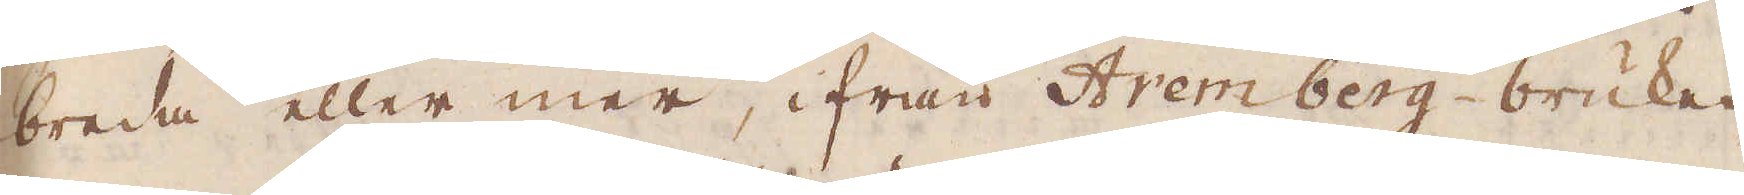breda eller mer, ifrån Aremberg-bruket,
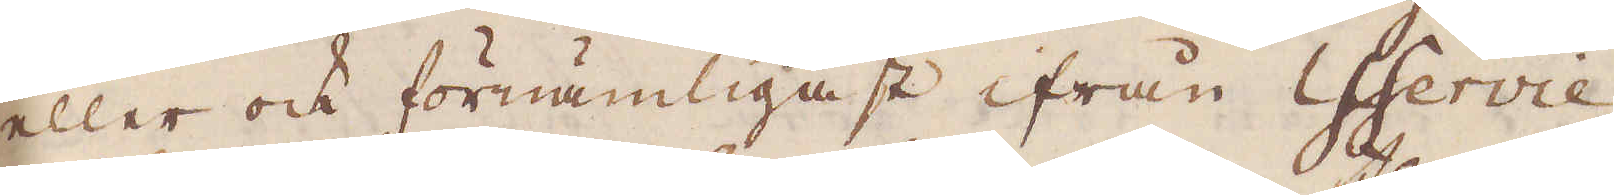eller ock förnämligast ifrån Chevie.
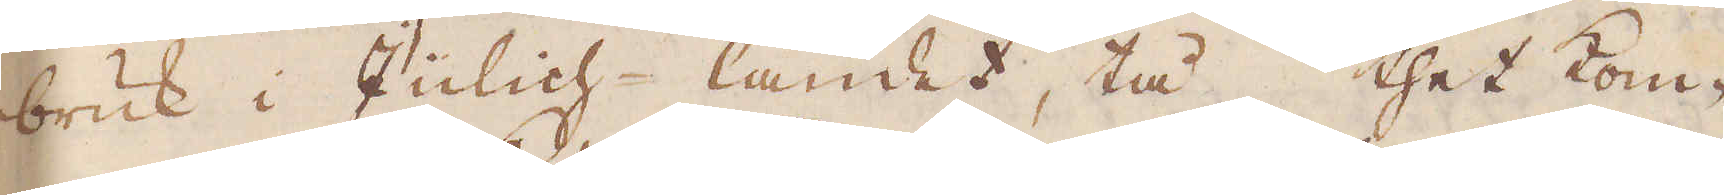bruk i Julich-landet, tå thet kom-
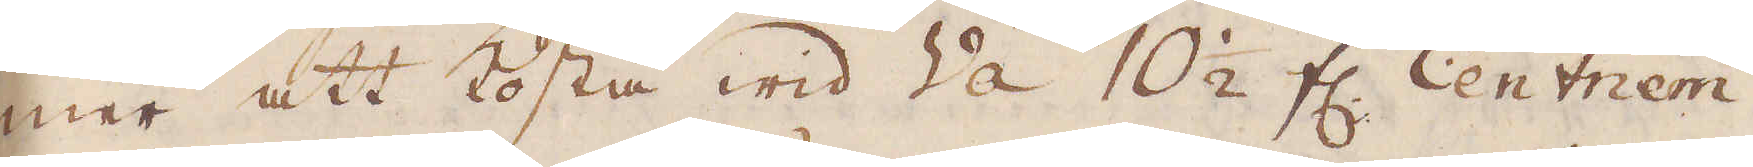mer att kosta wid Va 10 1/2 fl. Centnern.
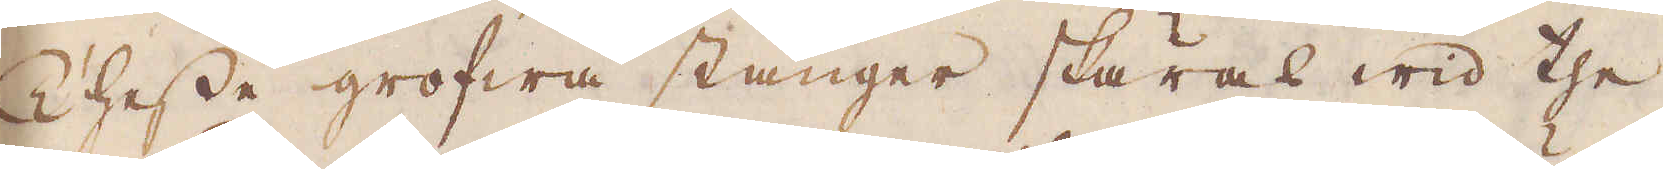Thesse grofwa stänger skäras wid the
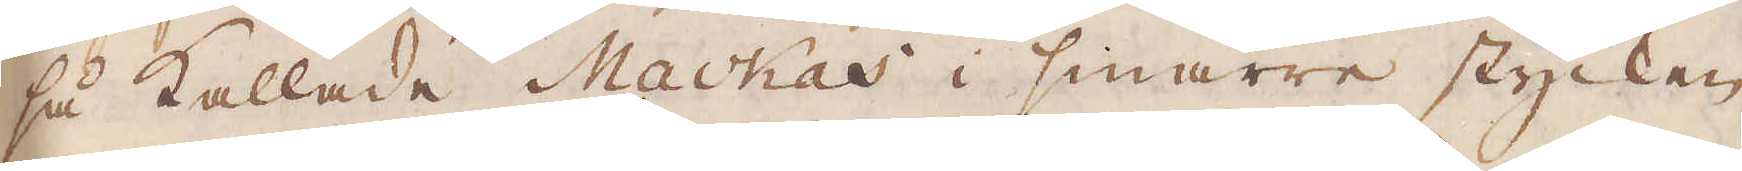så kallade Mackas i smärre stycken
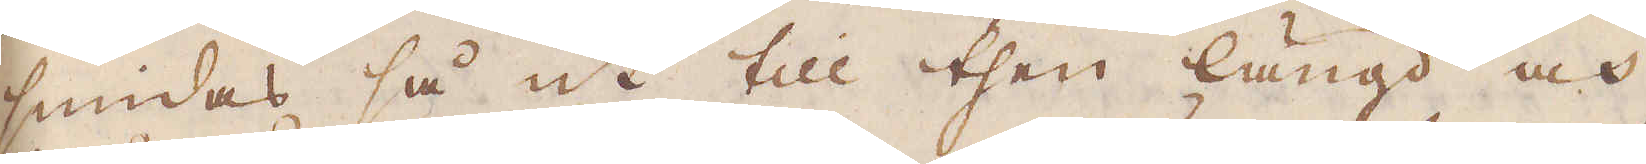smidas så ut till then längd och
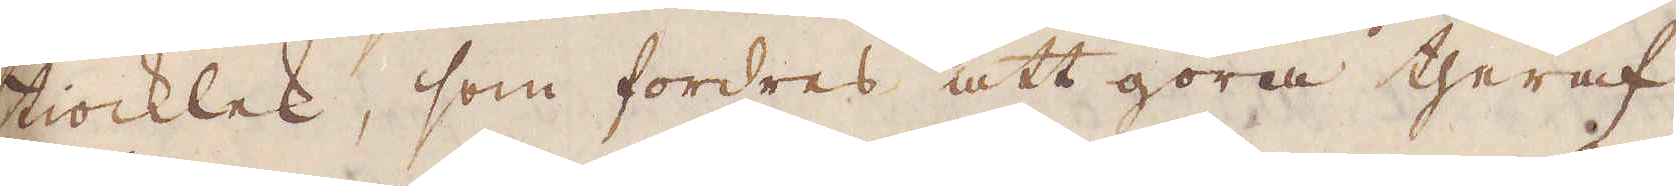tiocklek, som fordres att göra theraf
